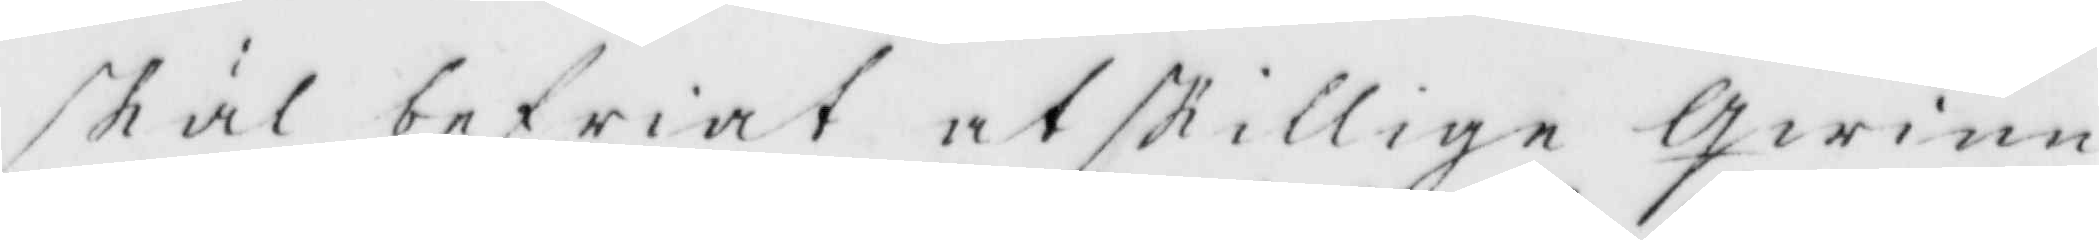skäl befriat atskillige Qwinn
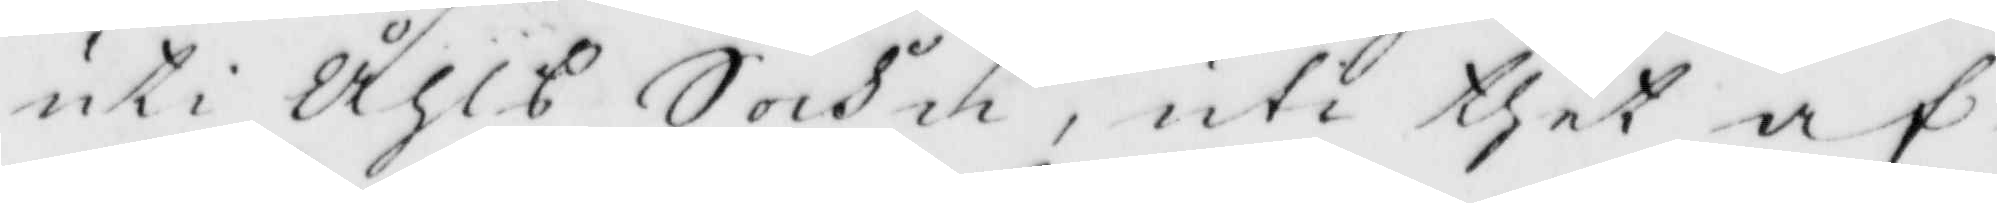uti Åhls Sockn, uti thet af
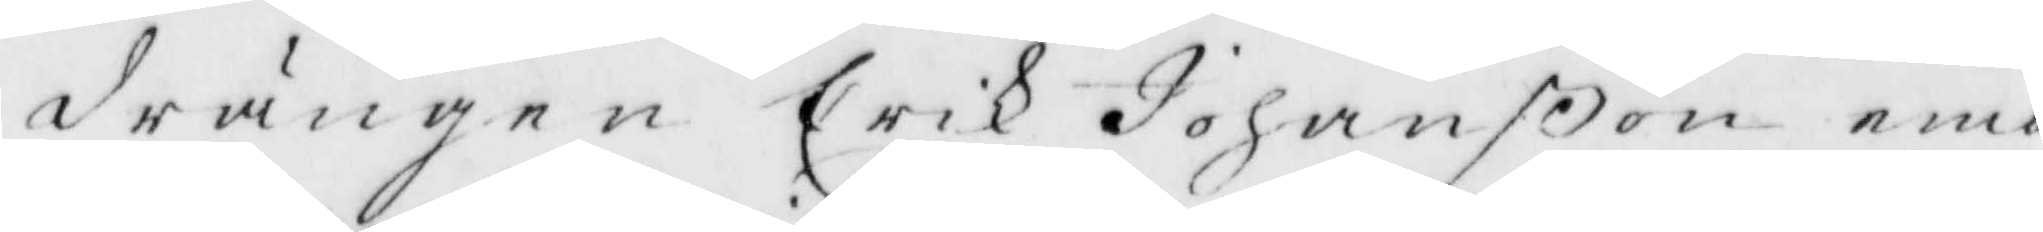drängen Erik Johanßon emo
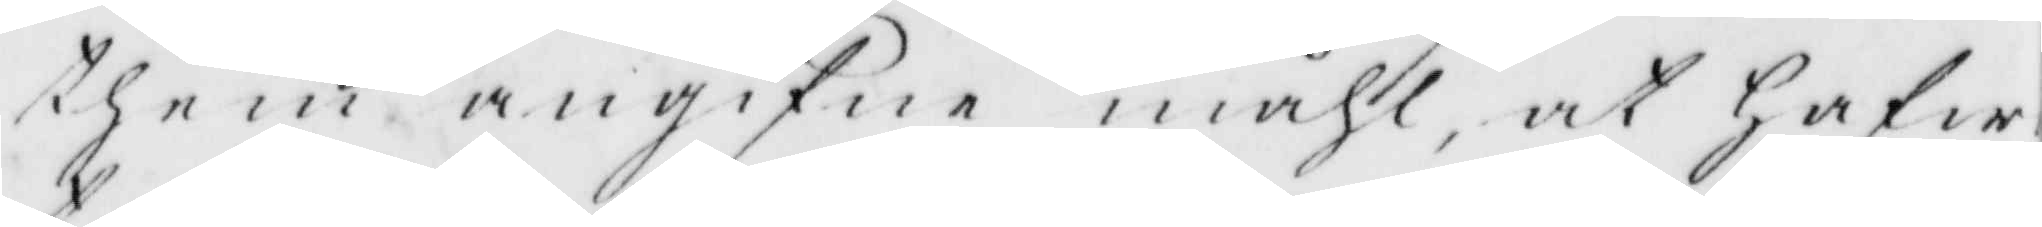them angifne måhl, at Hafw
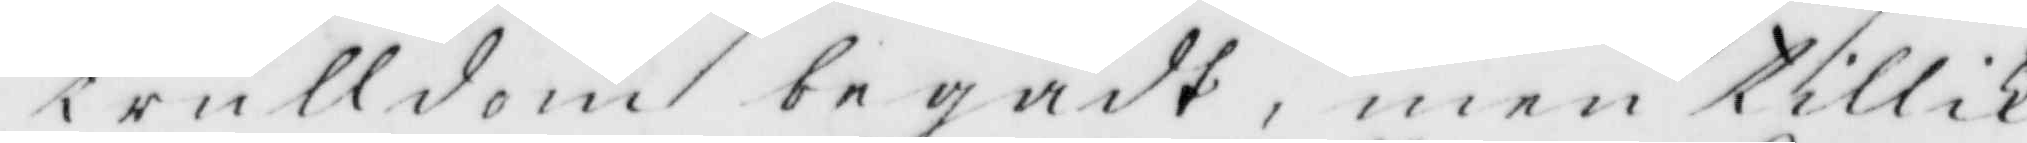trulldom begådt, men tillik
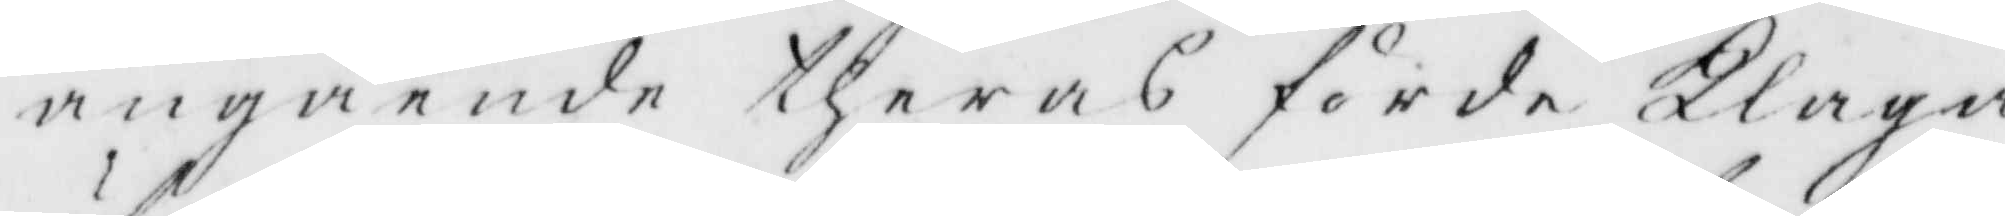angående theras förde Klaga
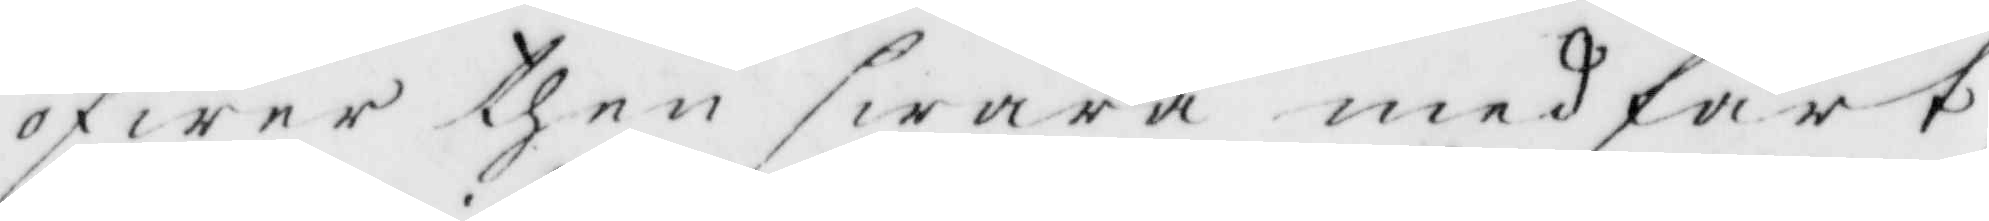öfwer then swåra medfart
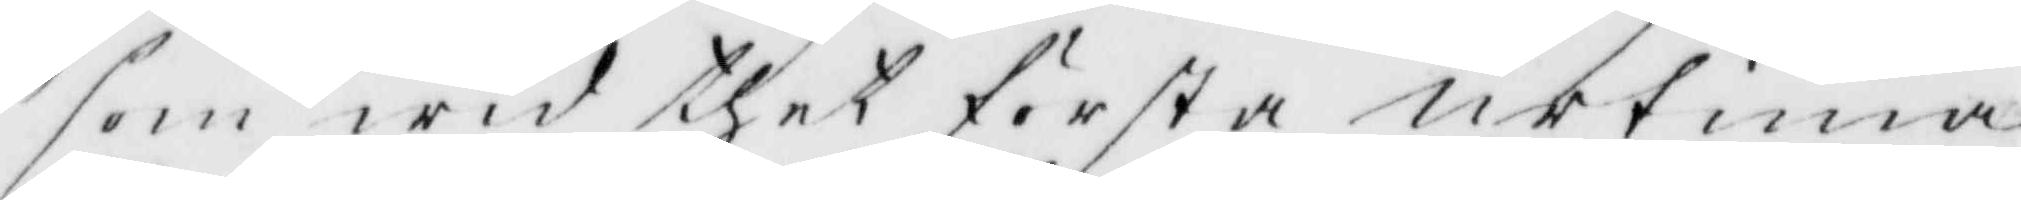som wid thet första urtima
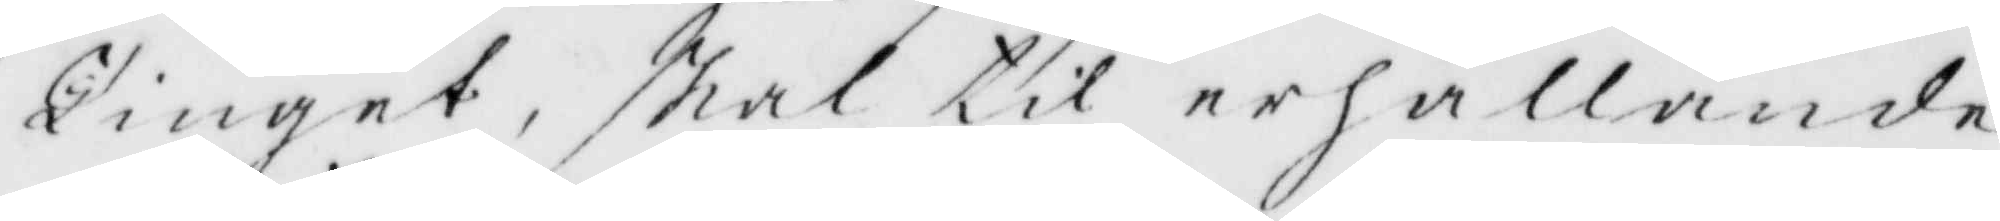Tinget, skal til erhållande
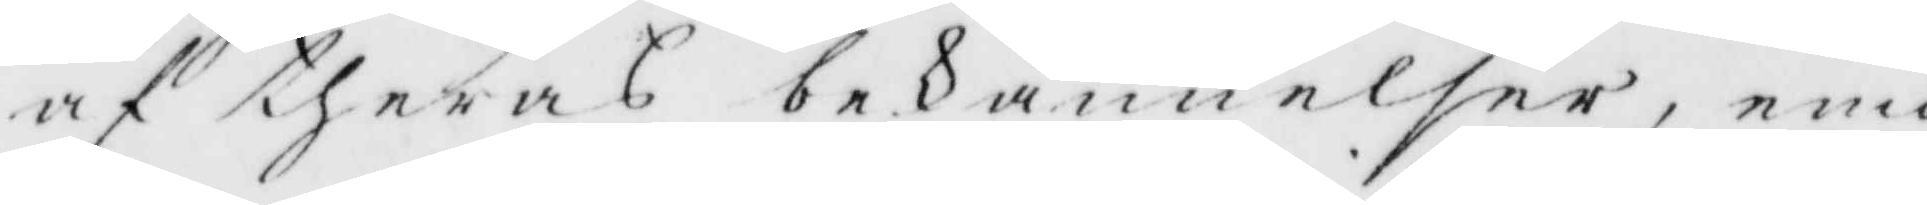af theras bekännelser, emot
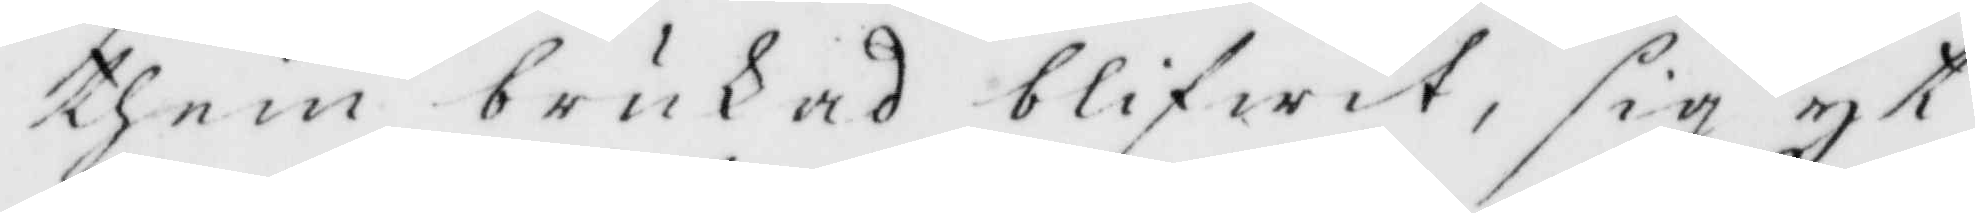them brukas blifwit, sig yt¬
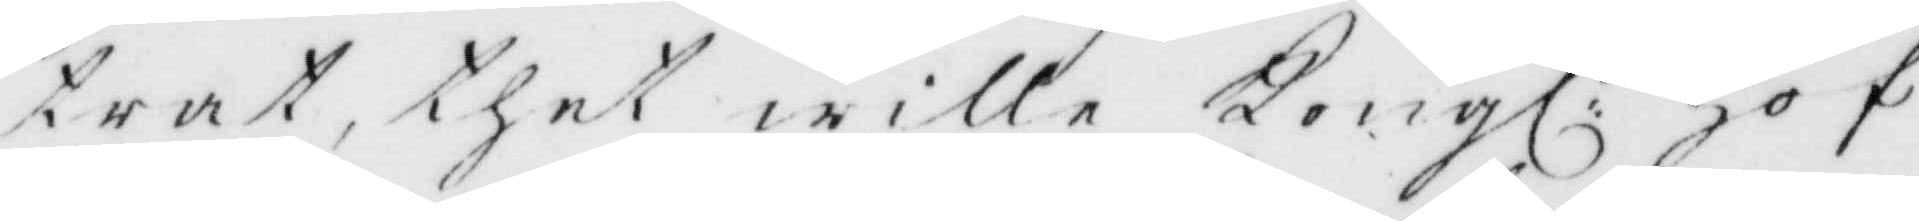trat, ther wille Kongl: Hof¬
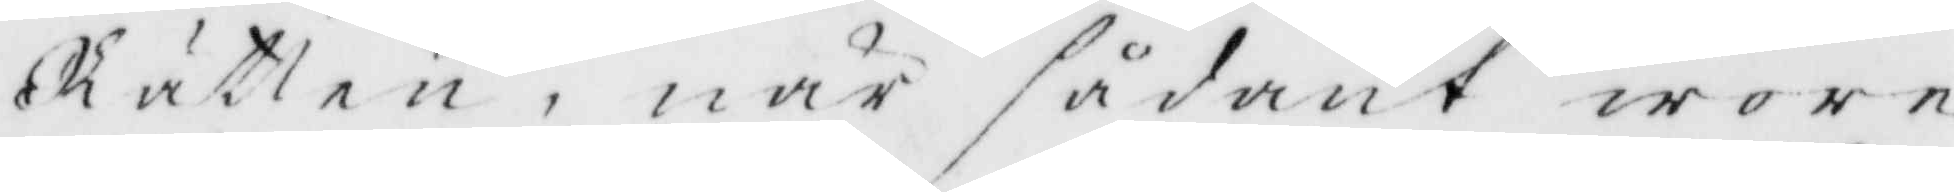Rätten, når sådant wore
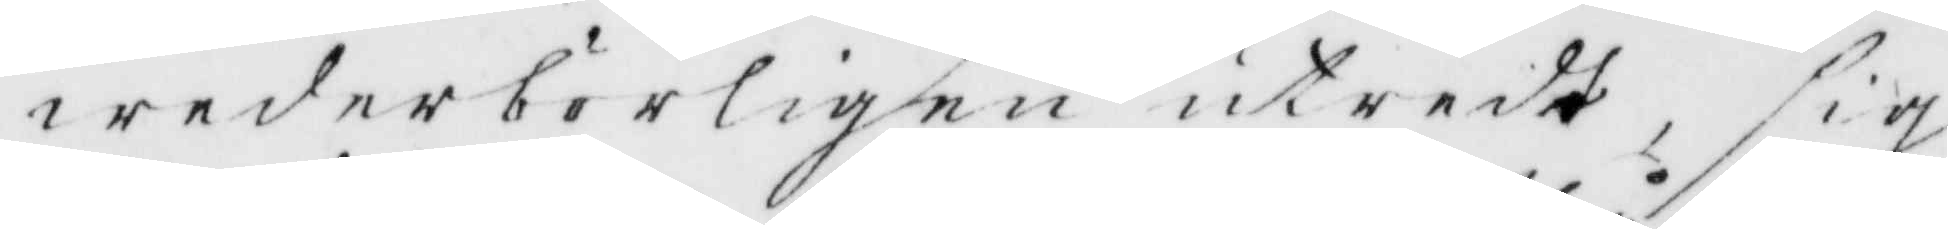wederbörligen utreedt, sig
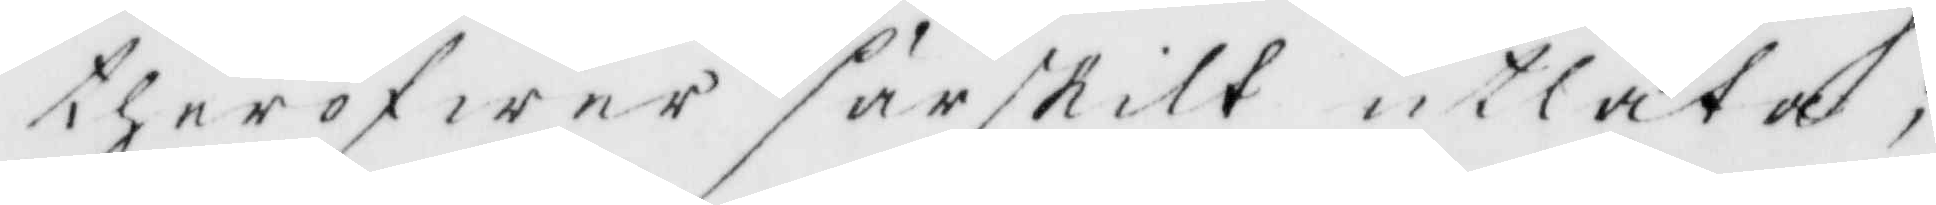theröfwer särskilt utlåta;
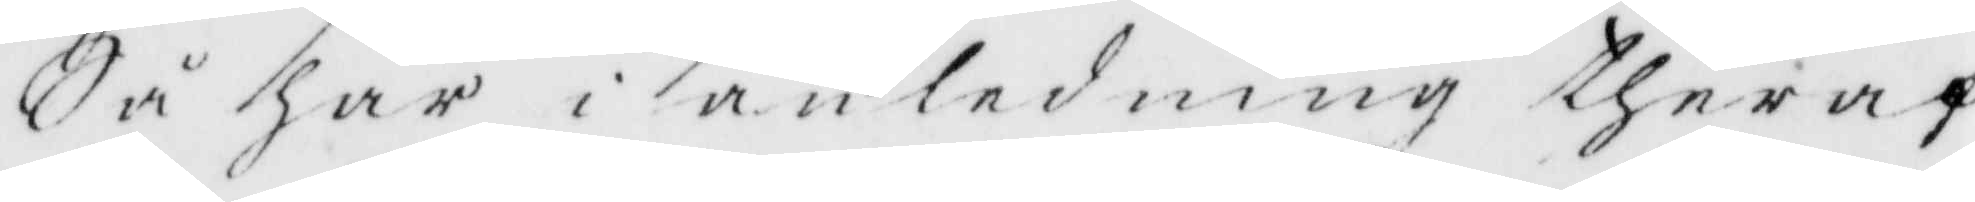Så har i anledning theraf
